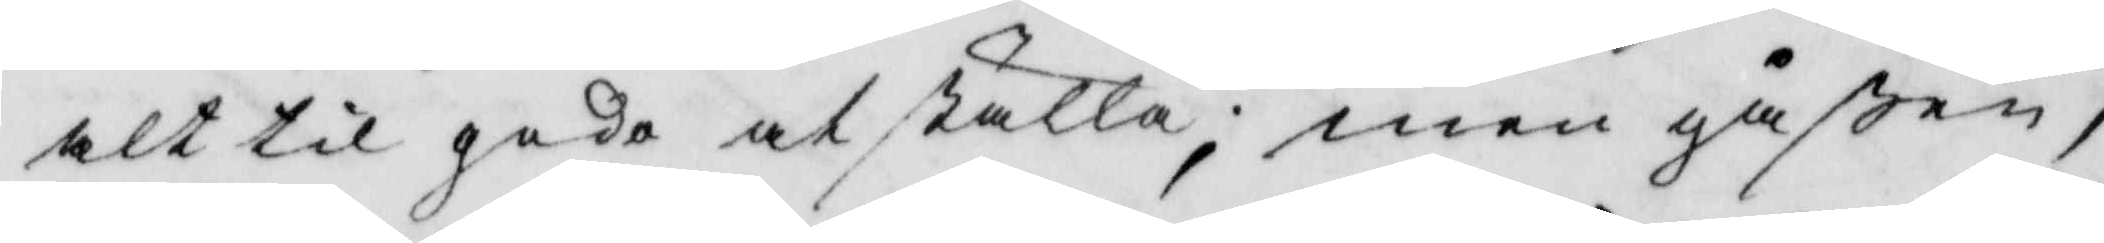alt til godo at ställa; men gåßen,
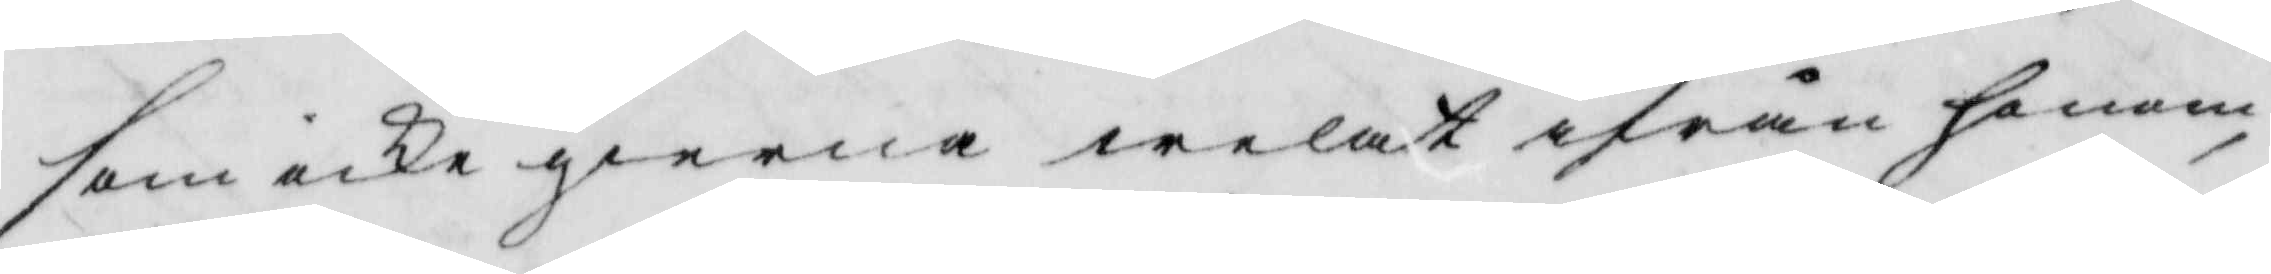som icke gierna welat ifrån honom
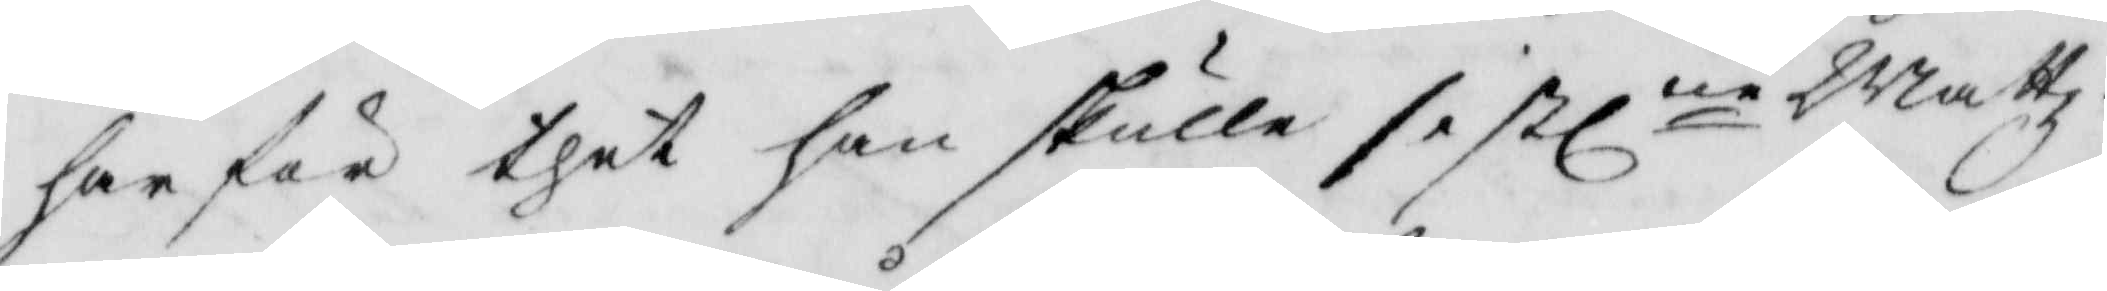gar för thet han skulle sistlne Mattz¬
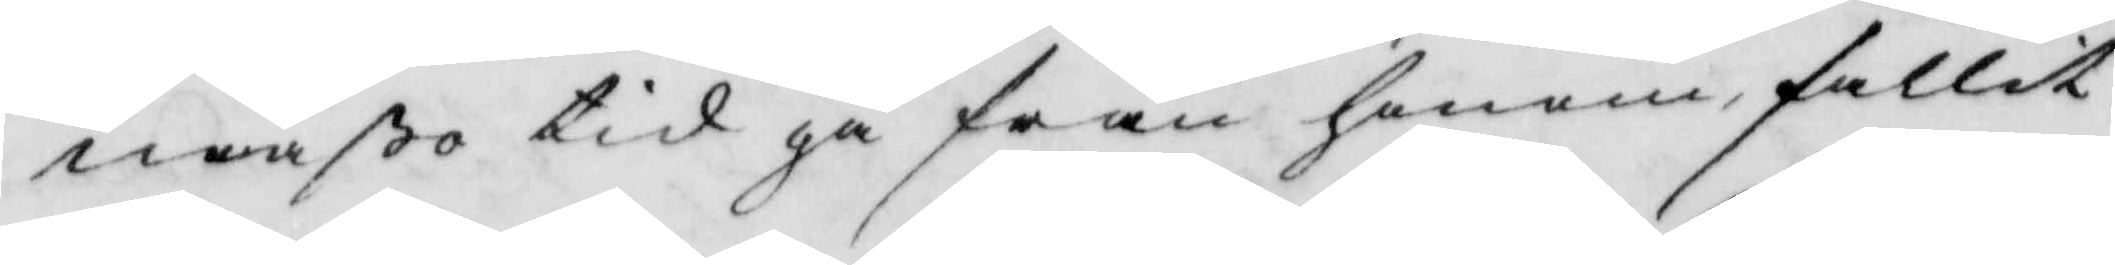mäßo tid gå från honom fallit
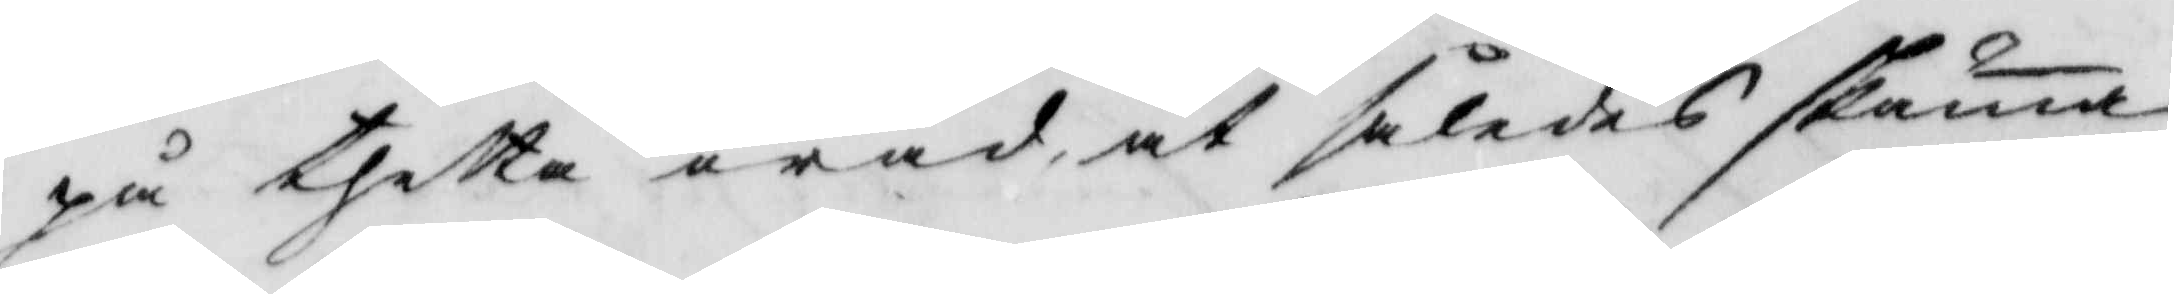på thetta oråd at således skäma
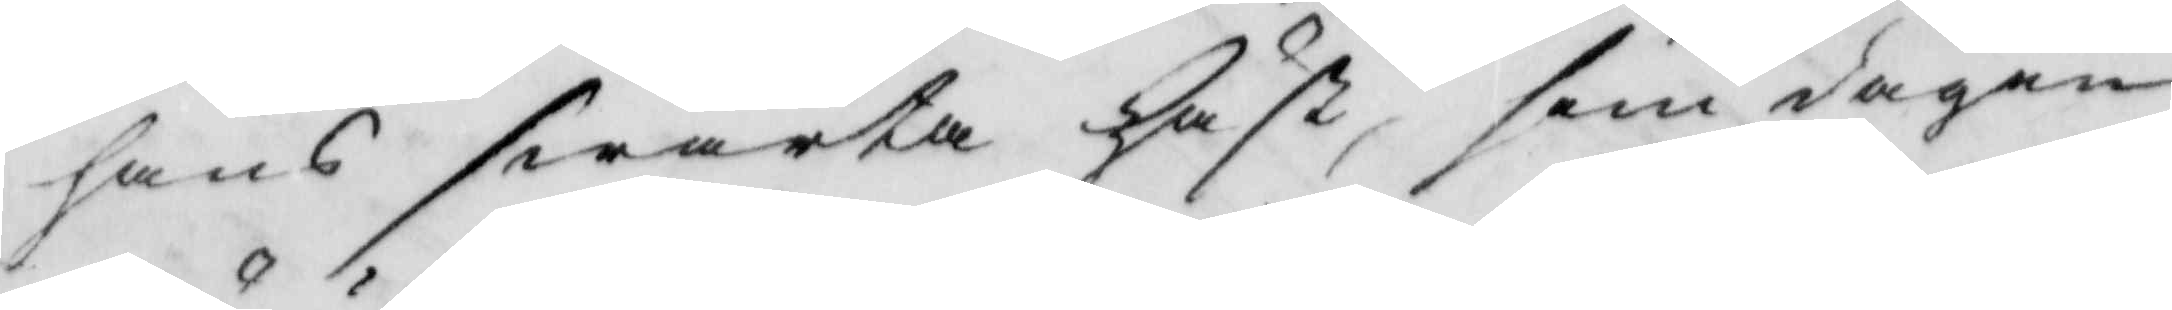hans swarta häst, som dagen
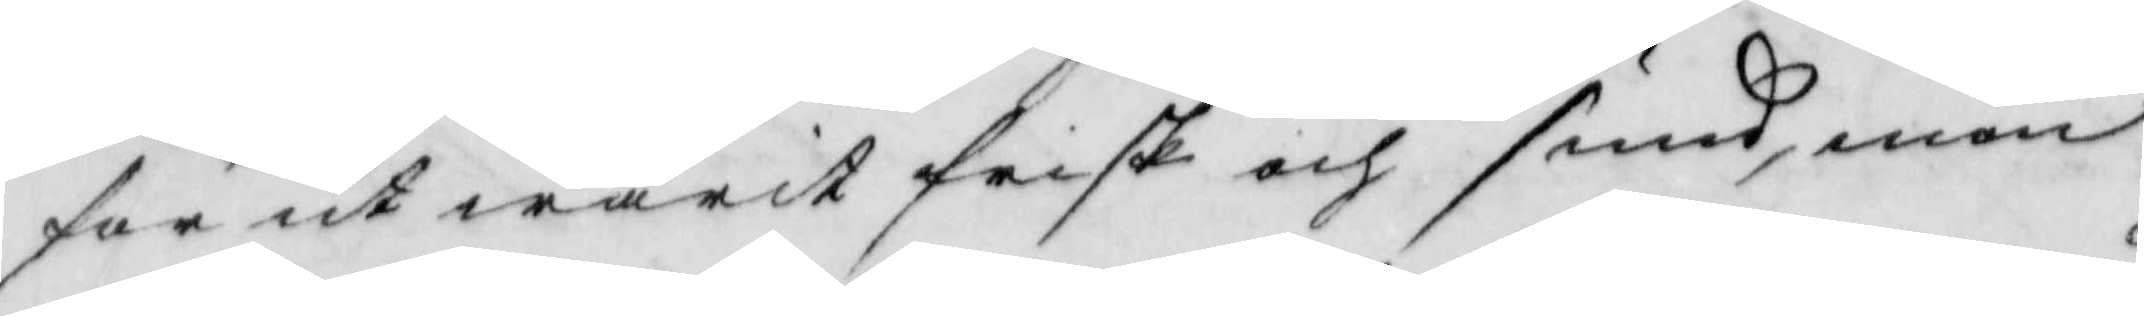förut warit frisk och sund, men
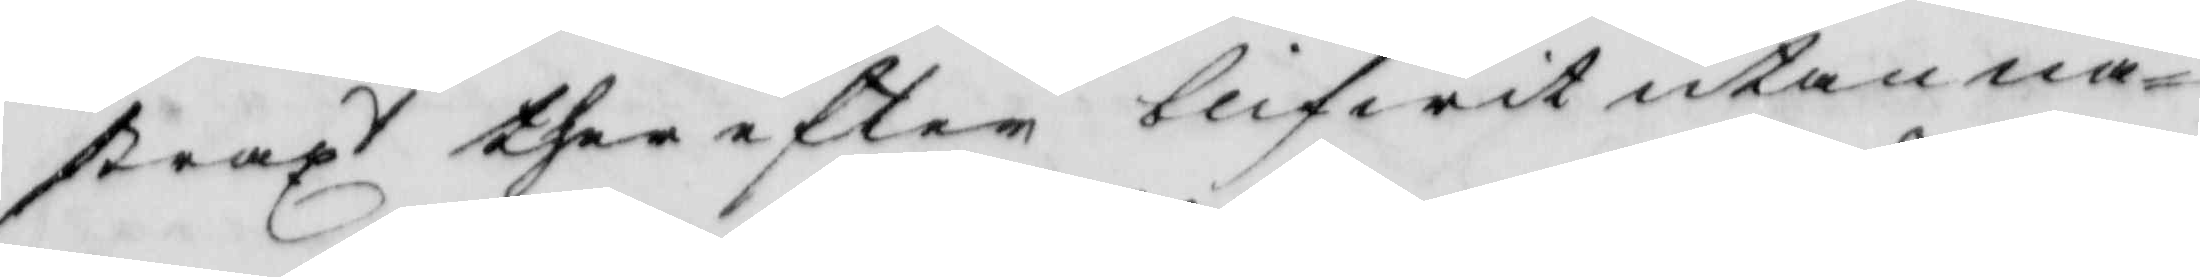straxt therefter blifwit utan nå¬
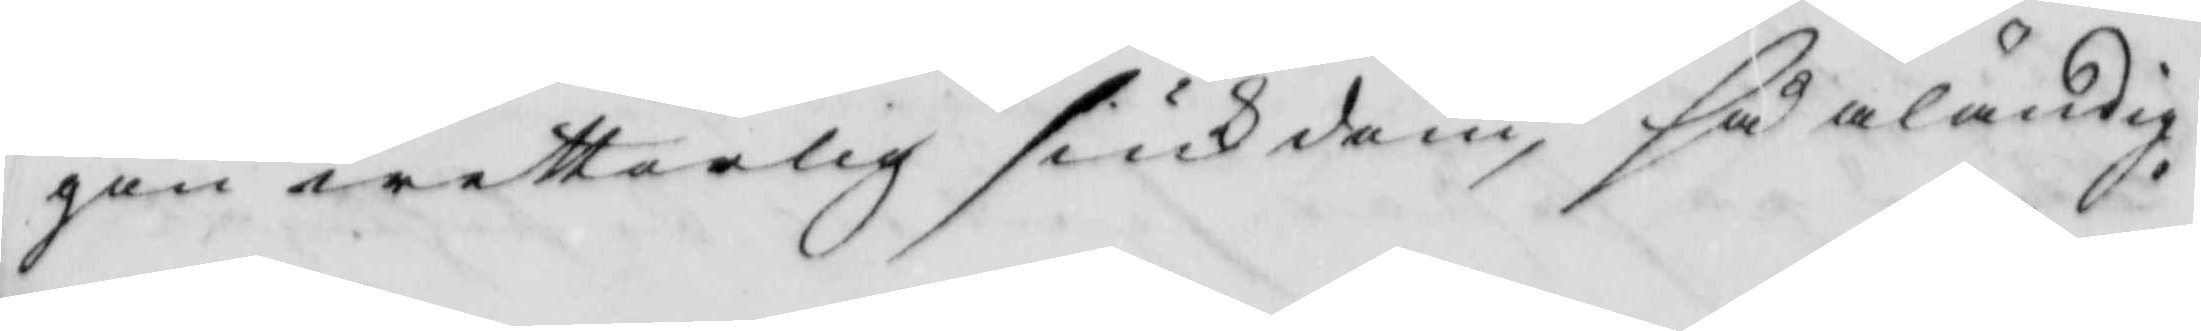gon wetterlig siukdom, så äländig 
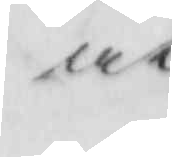at
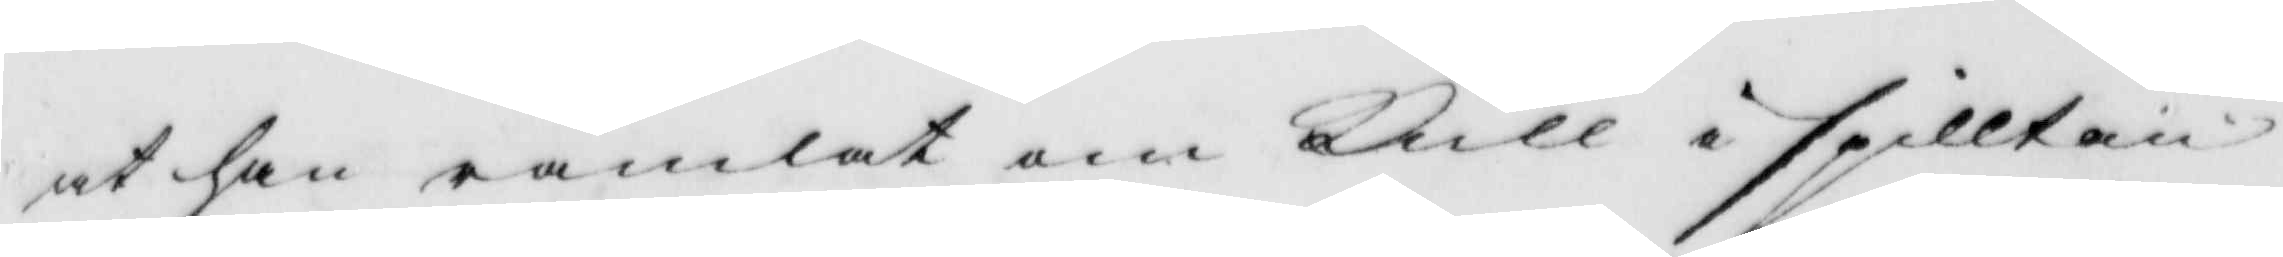at han ramlat om kull i spilltan
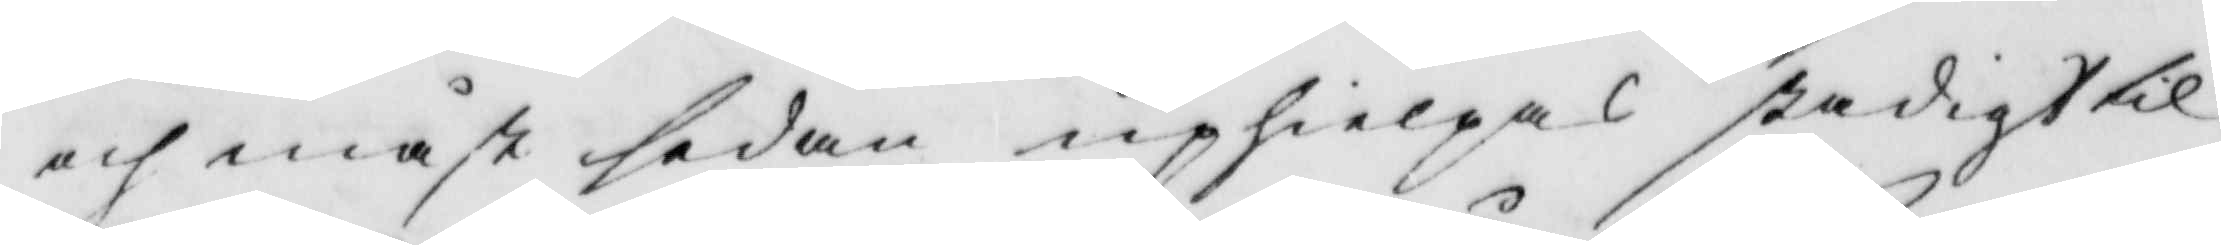och måst sedan uphielpas stadigt til
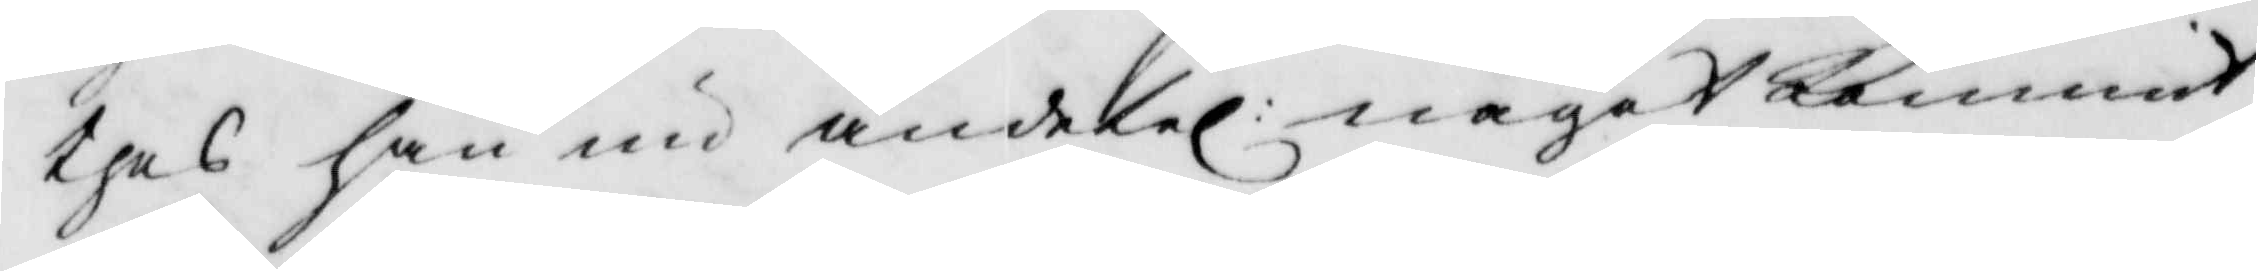thes han nu ändetel: något kommit
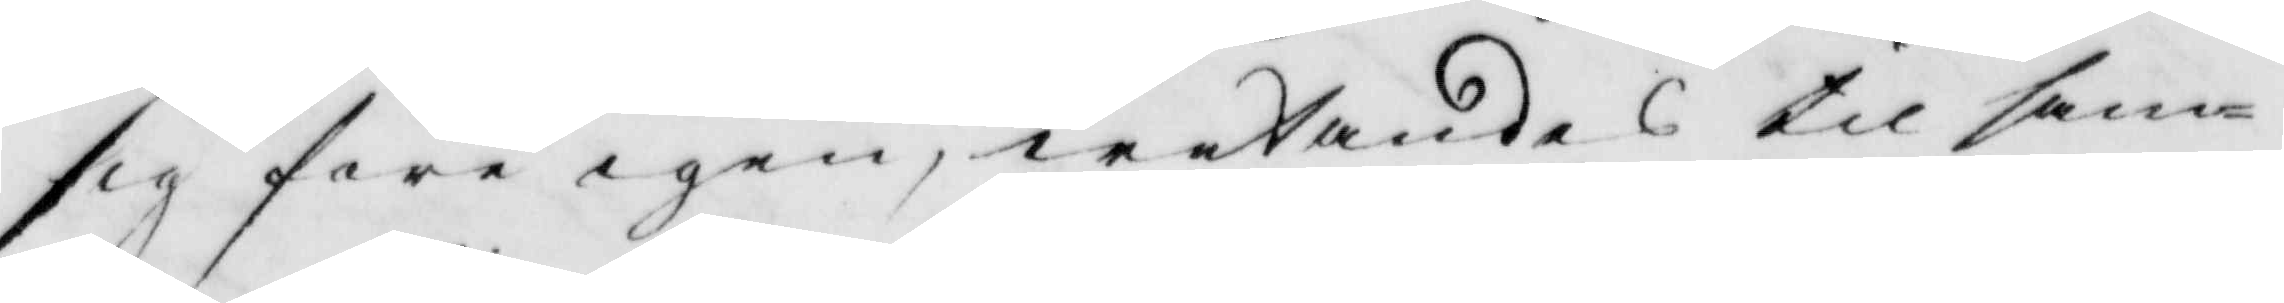sig före igen, wetandes til sam¬
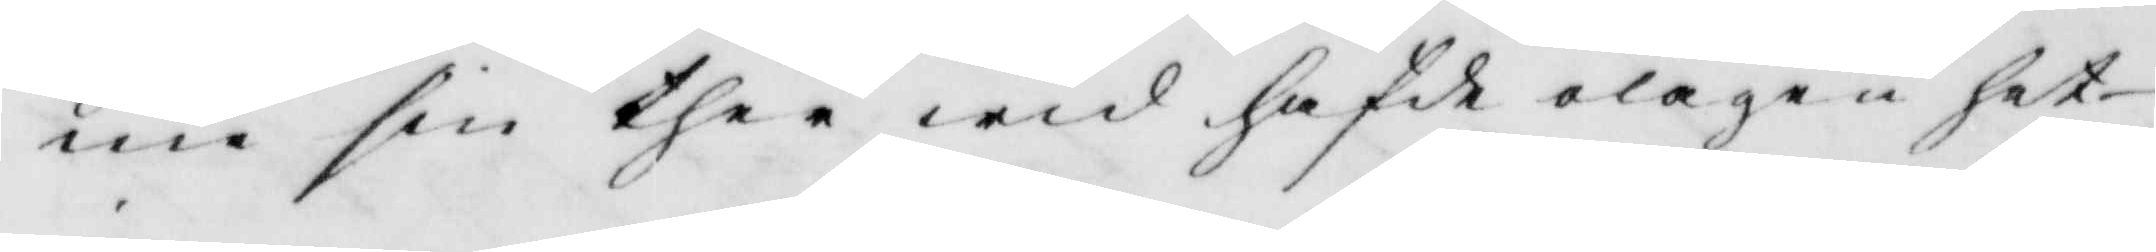me sin ther wid hafde olägenhet
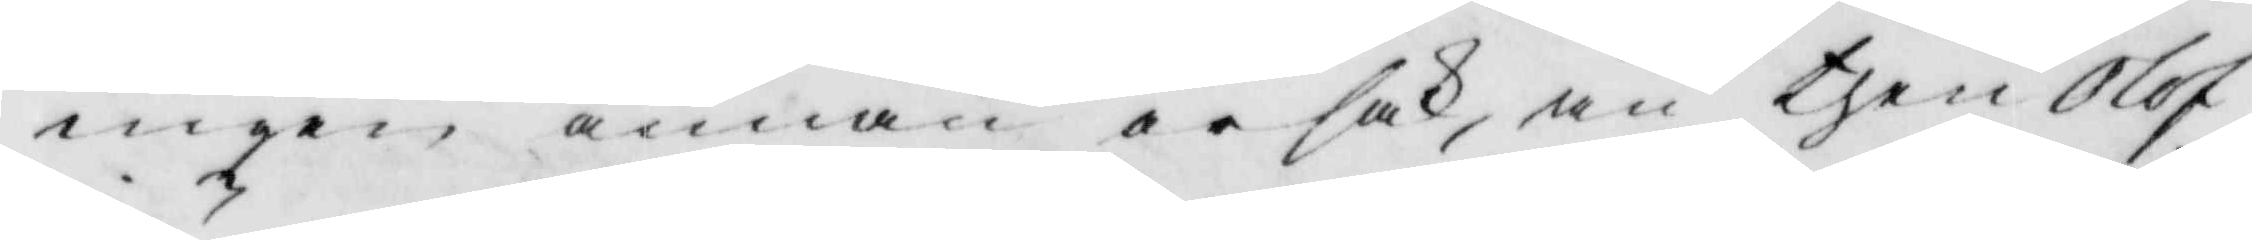ingen annan orsak, än then Olof
